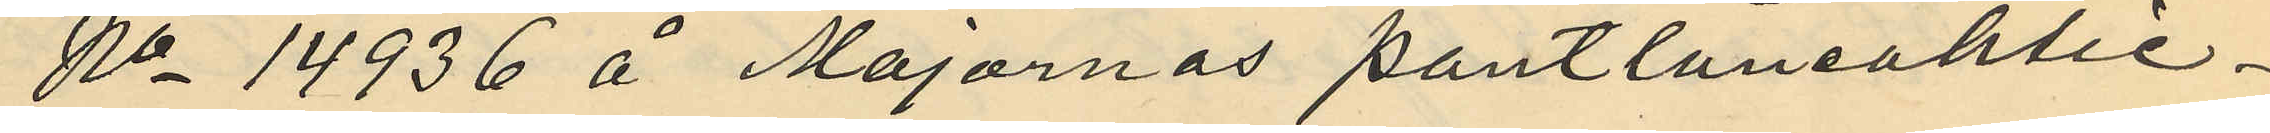No 14936 å Majornas pantlåneaktie¬
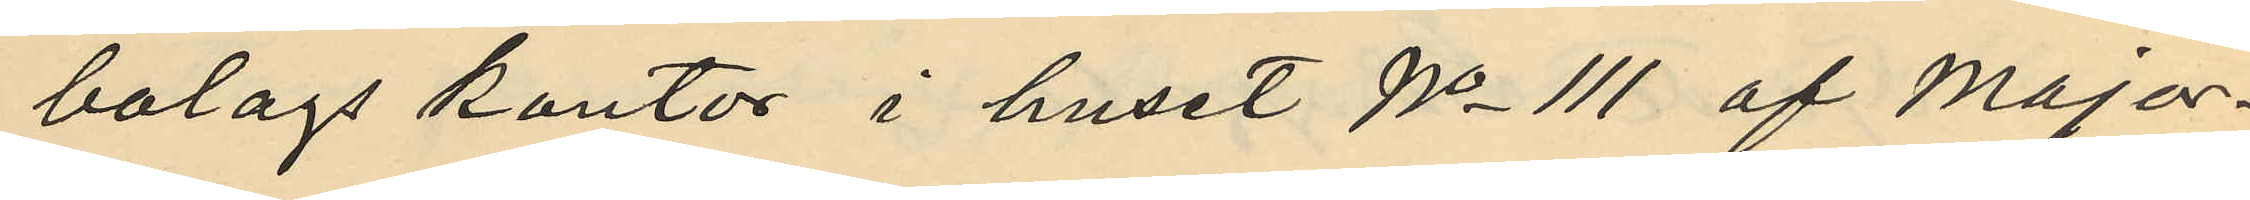bolags kontor i huset No 111 af Major¬
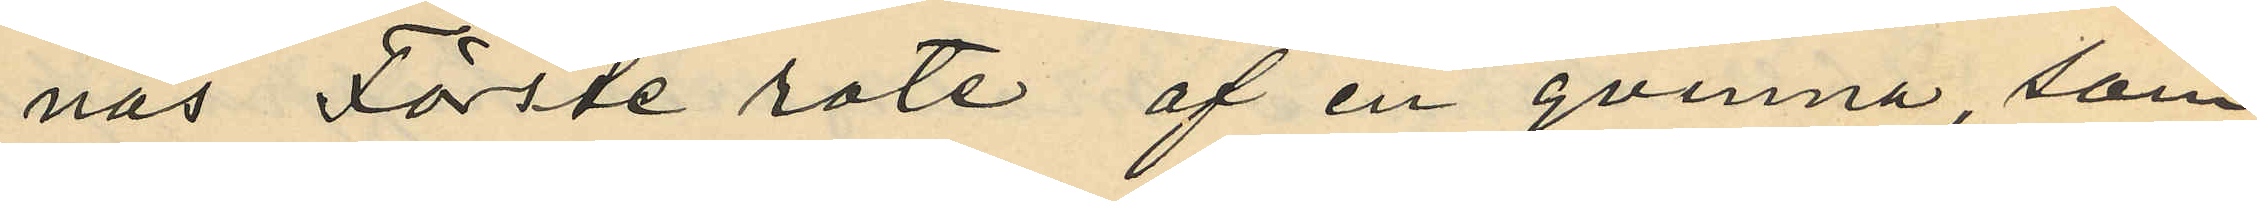nas Förste rote af en qvinna som
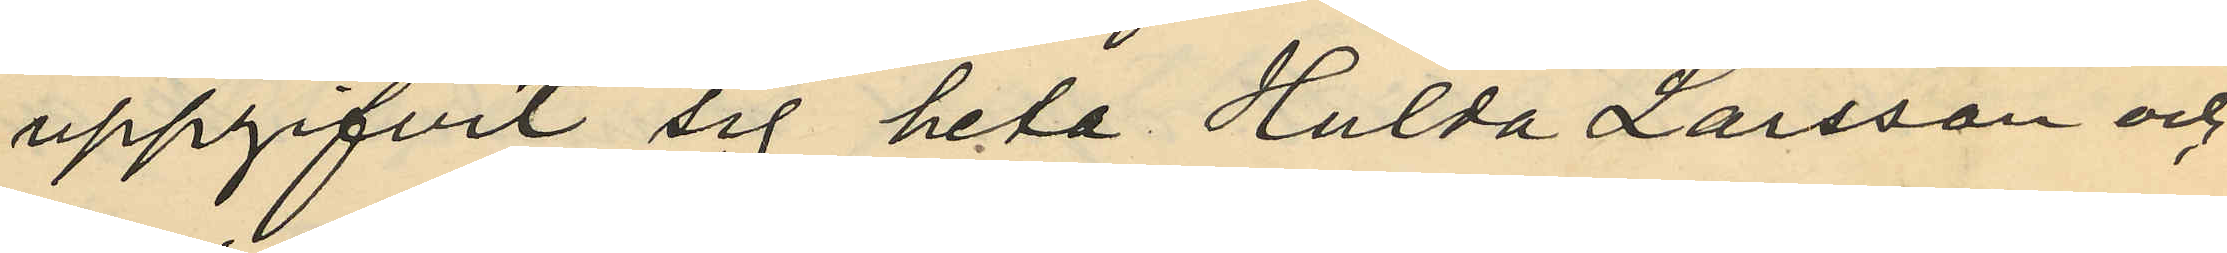uppgifvit sig heta Hulda Larsson och
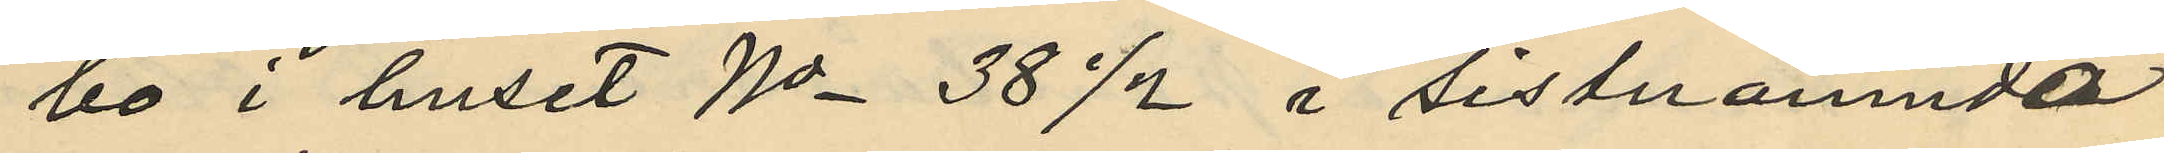bo i huset No 38 1/2 i sistnämnde
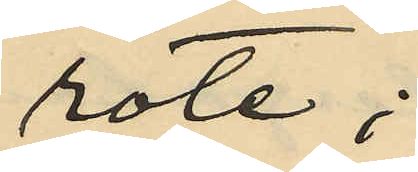rote;
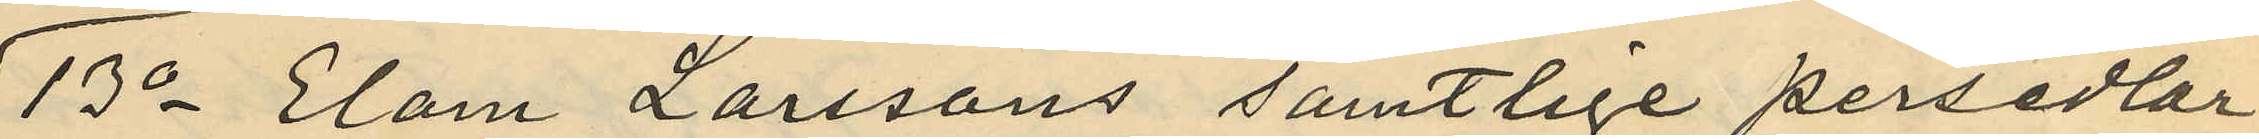13o Elam Larssons samtlige persedlar
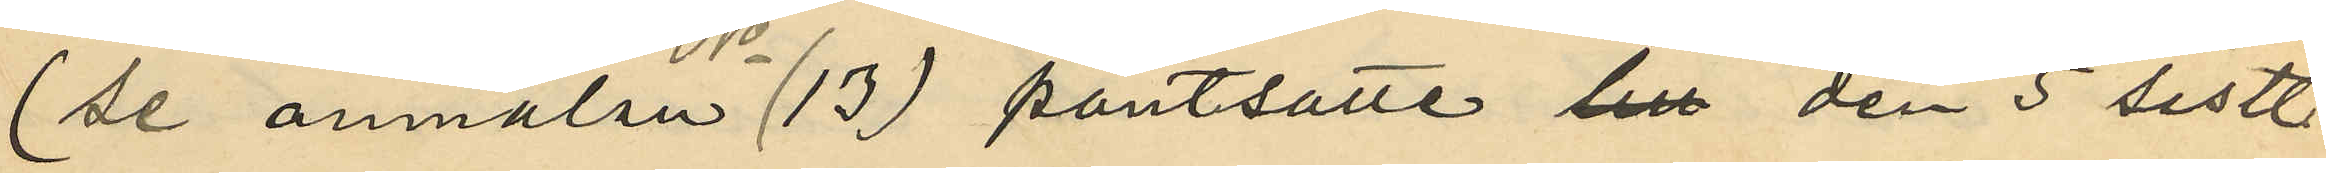(se anmälan No 37 pantsatte till den 5 sistl.
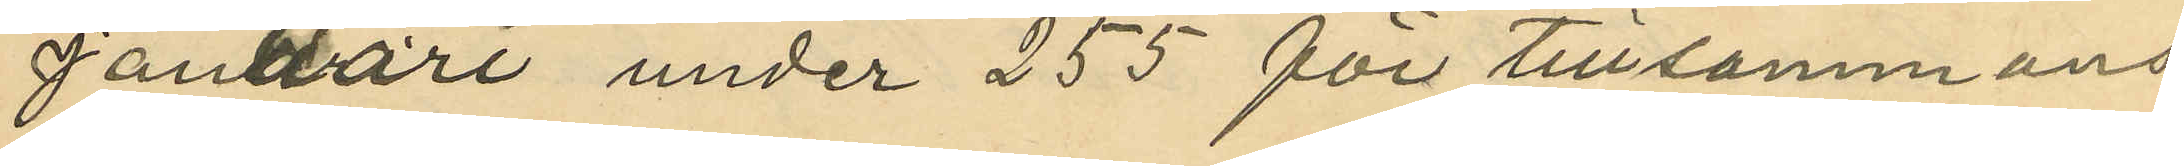Januari under 255 för tillsammans
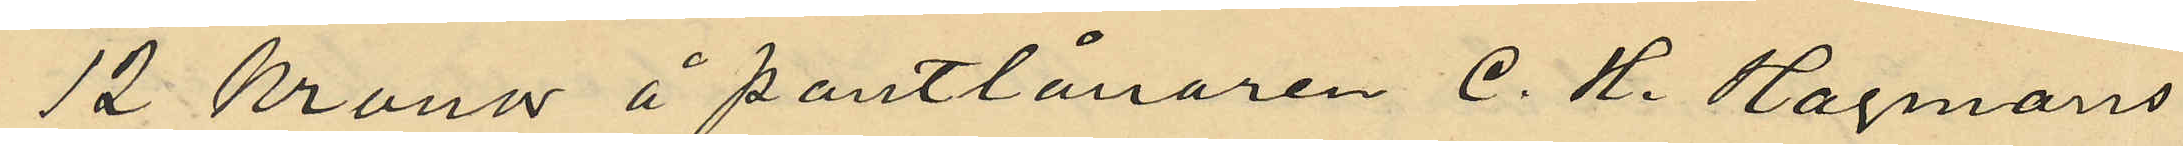12 Kronor å pantlånaren C. H. Hagmans
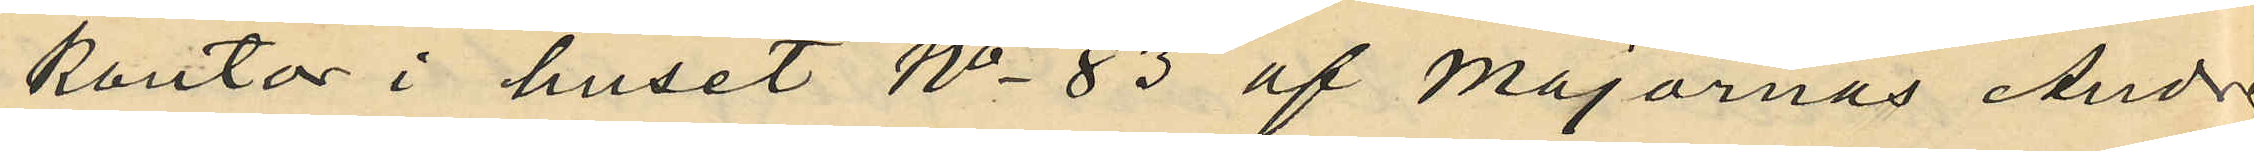kontor i huset No 83 af Majornas Andra
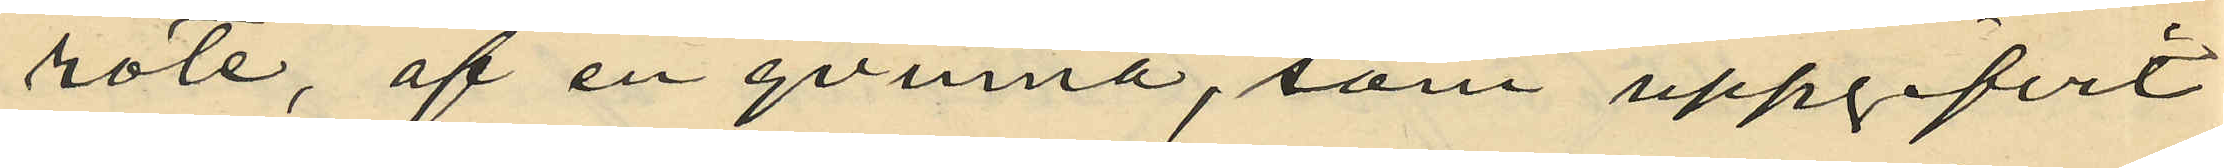rote, af en qvinna, som uppgifvit
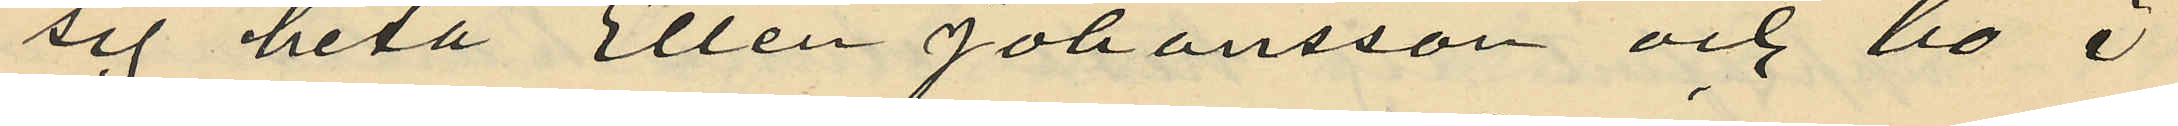sig heta Ellen Johansson och bo å
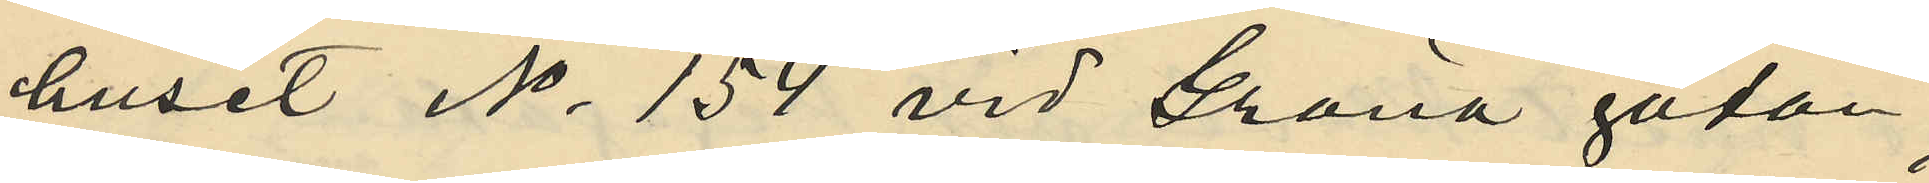huset No 154 vid Gröna gatan,
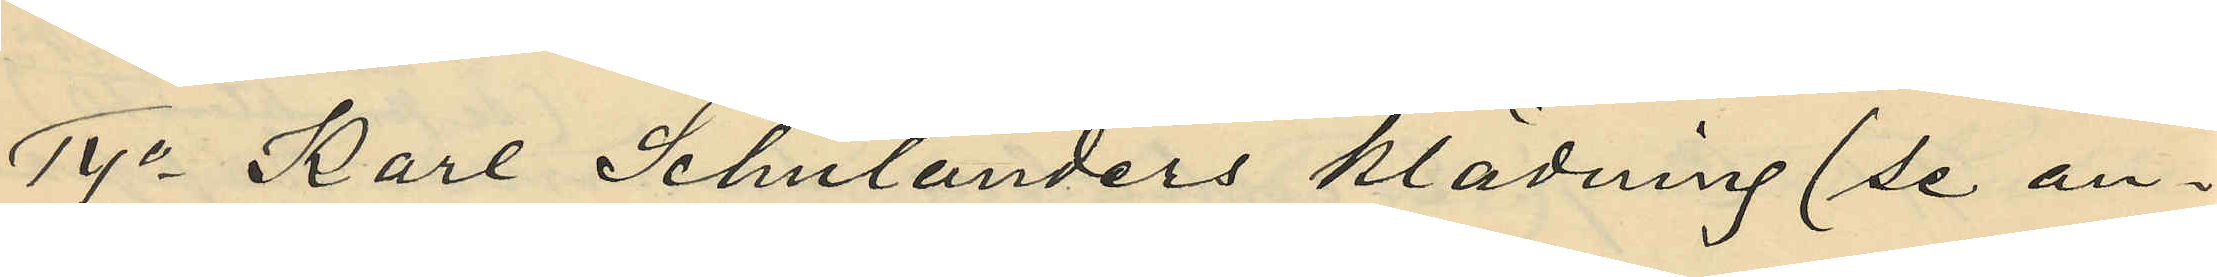14o Karl Schulanders klädning (se an¬
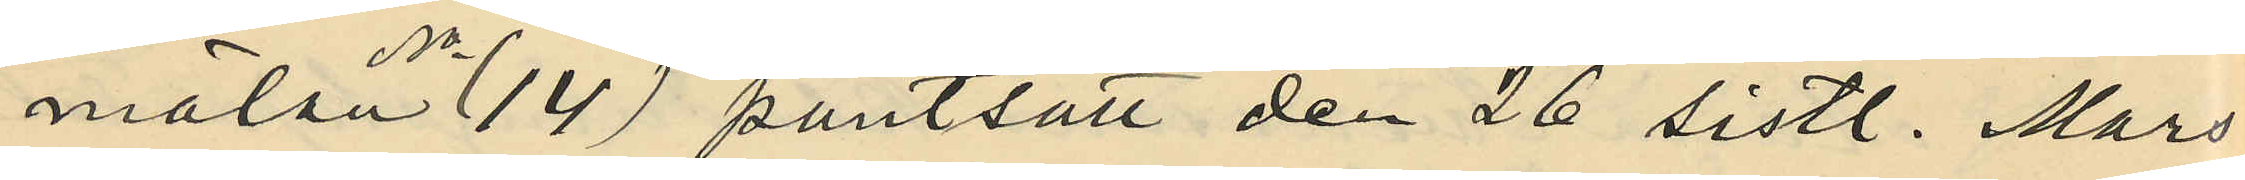mälan No 14) pantsatt den 26 sistl. Mars
